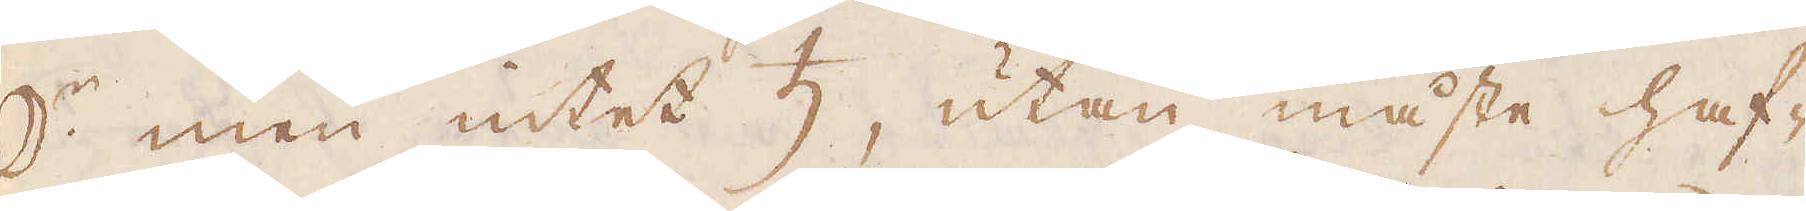☽:r men intet ♄, utan måste haf-
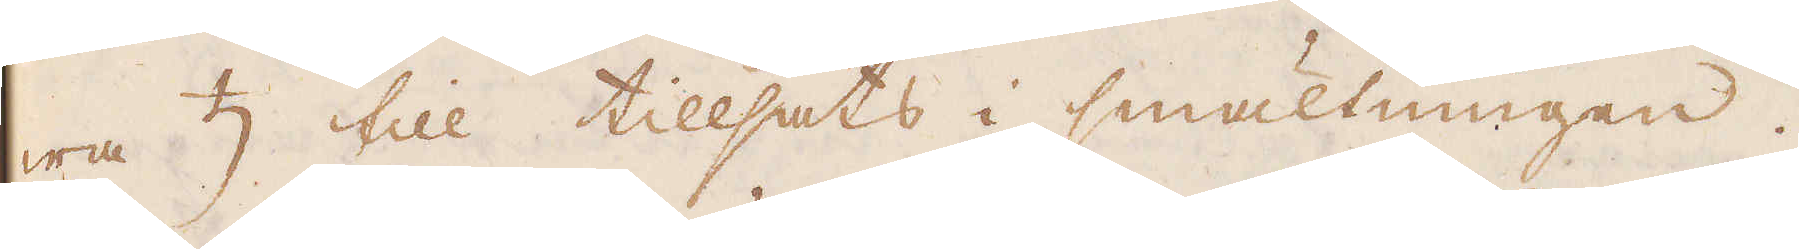wa ♄ till tillsats i smältningen.
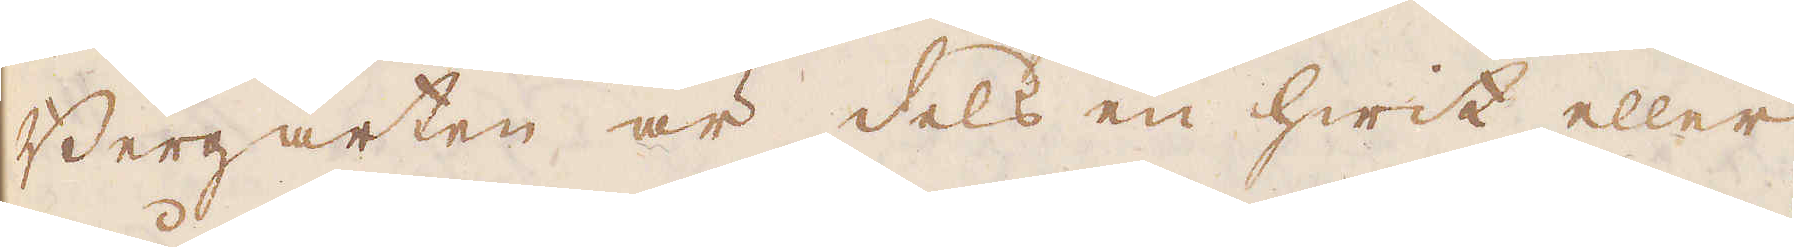Bergarten är dels en hwit eller
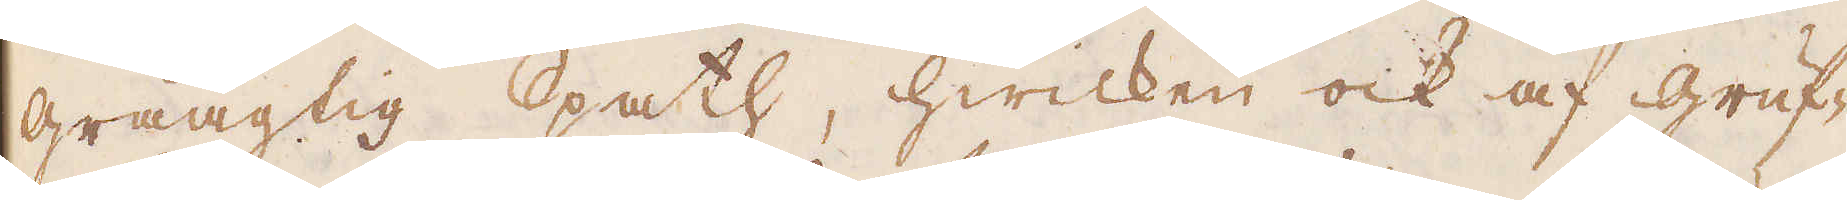gråagtig Spath, hwilken ock af gruf-
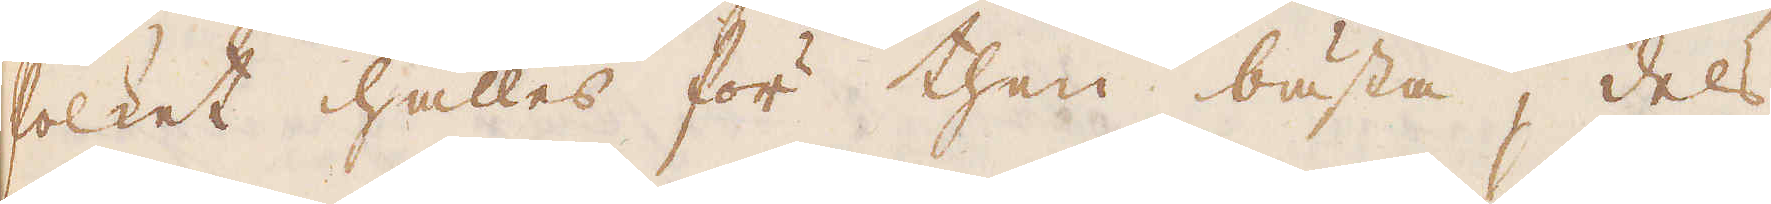folket hålles för then bästa, dels
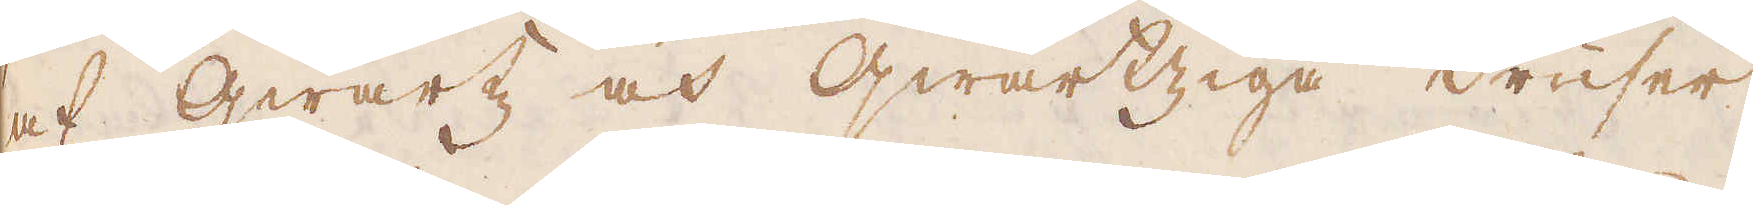af qwartz och qwartziga druser,
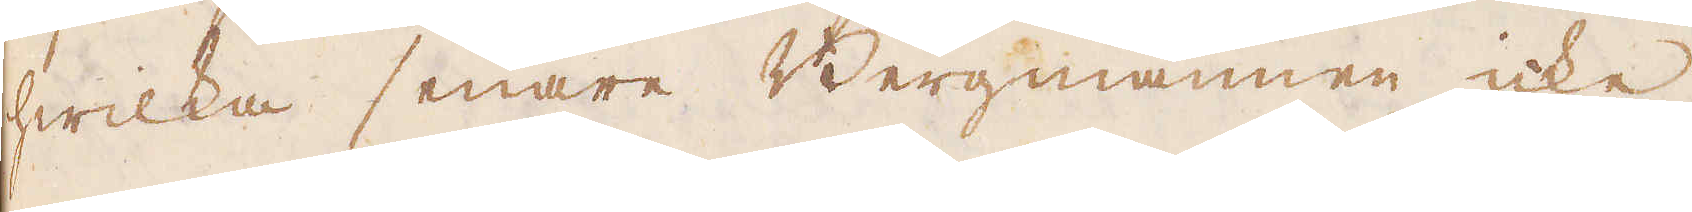hwilka senare Bergmannen icke
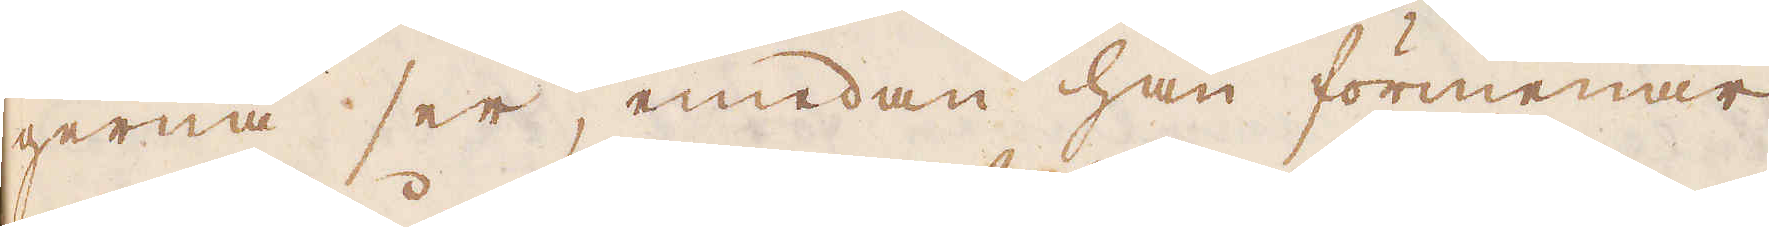gerna ser, medan han förmenar
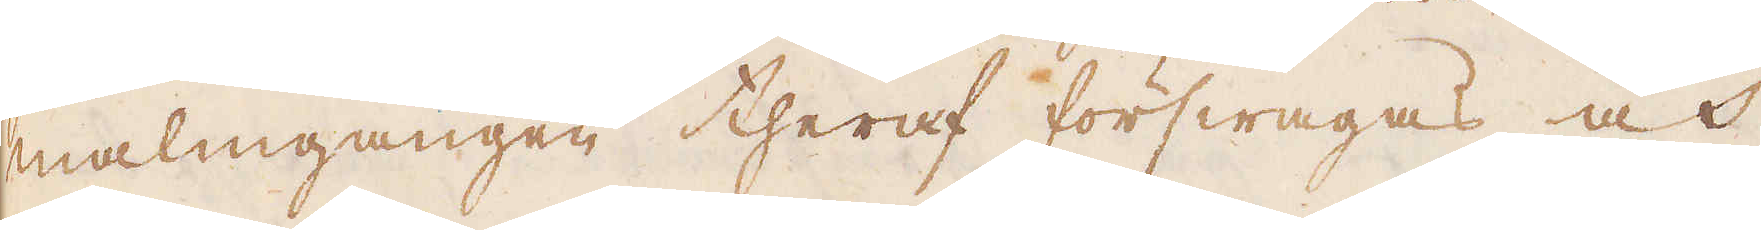malmgången theraf förswagas och
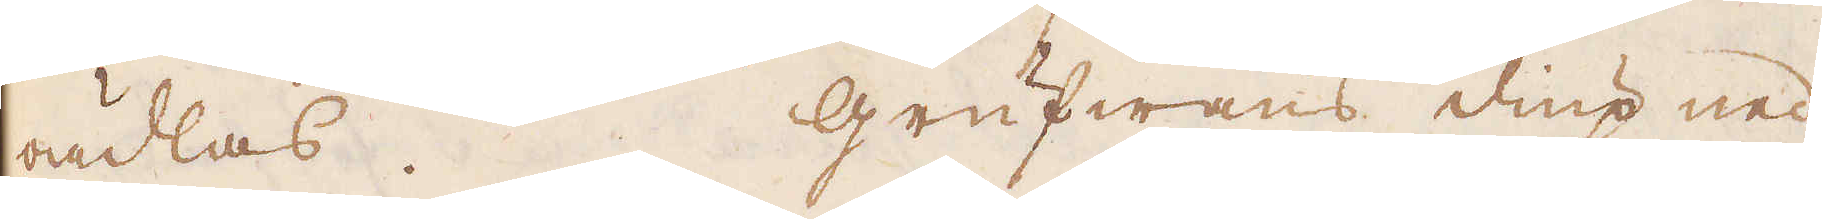oädlas. Grufwans diup ned
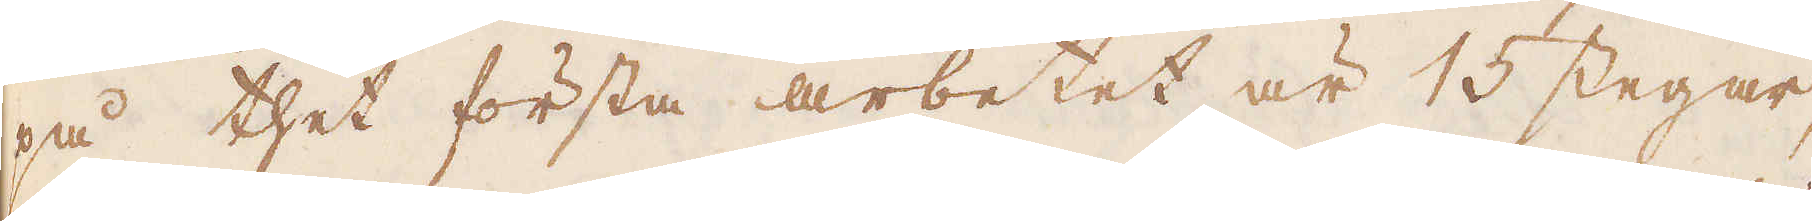på thet första arbetet är 15 stegar,
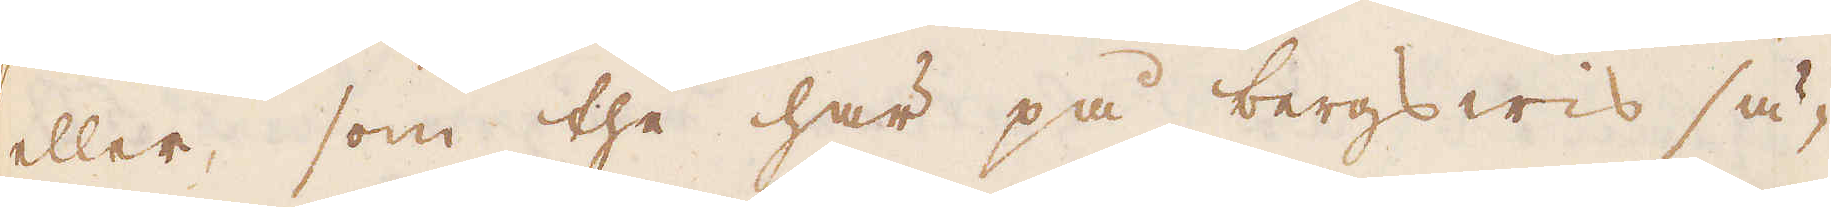eller, som the här på bergswis sä-
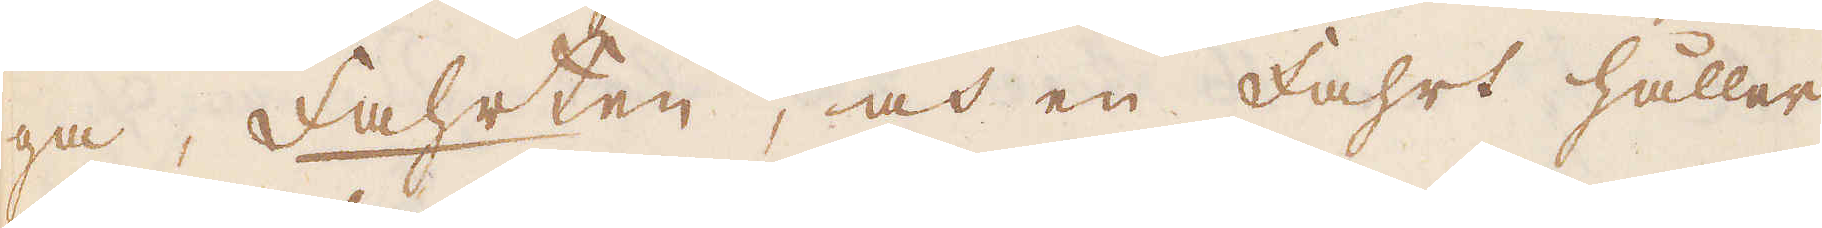ga, fahrten, och en fahrt håller
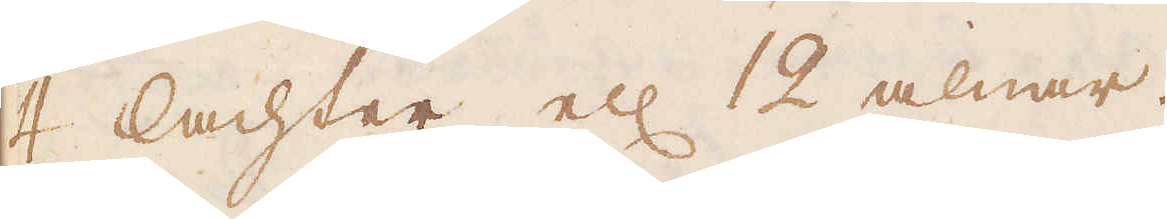4 lachter ell: 12 alnar.
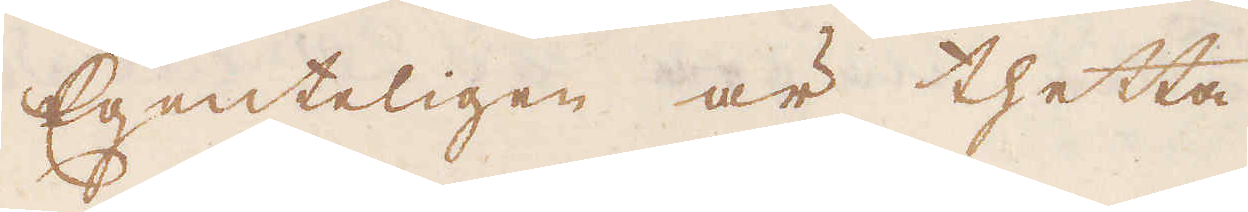Egenteligen är thetta
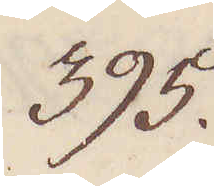395.
